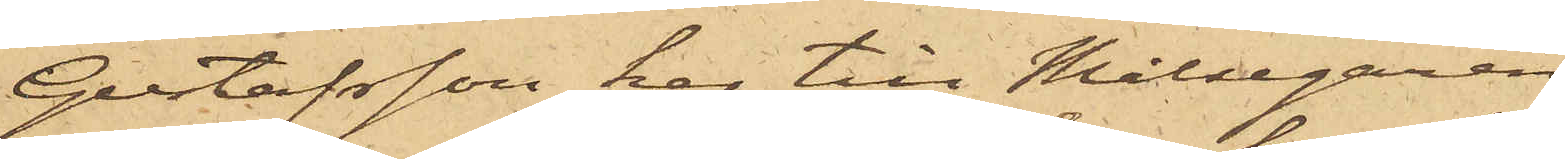Gustafsson har till Målsegaren
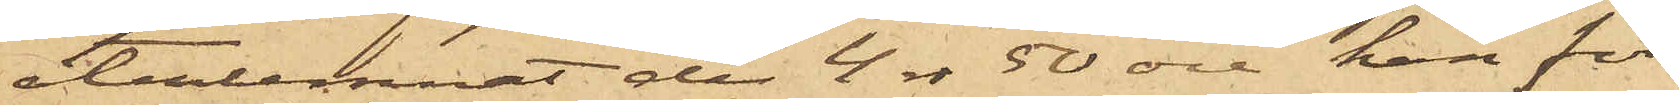återlemnat de 4 rdr 50 öre han för
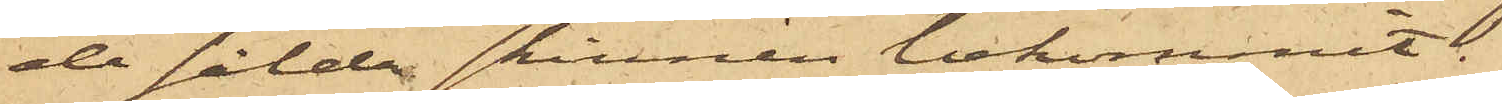de sålda skinnen bekommit.
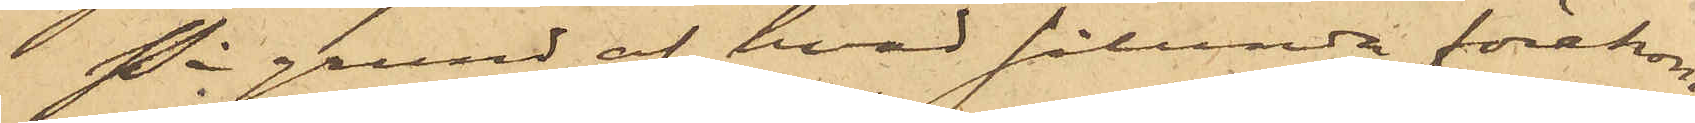På grund af hvad sålunda förekom¬
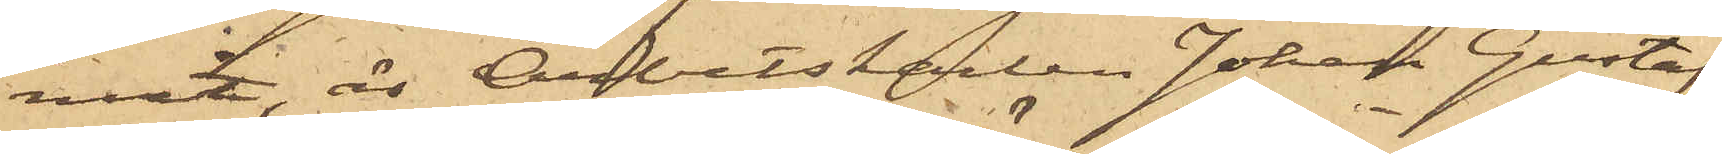mit, är Arbetskarlen Johan Gustafs¬
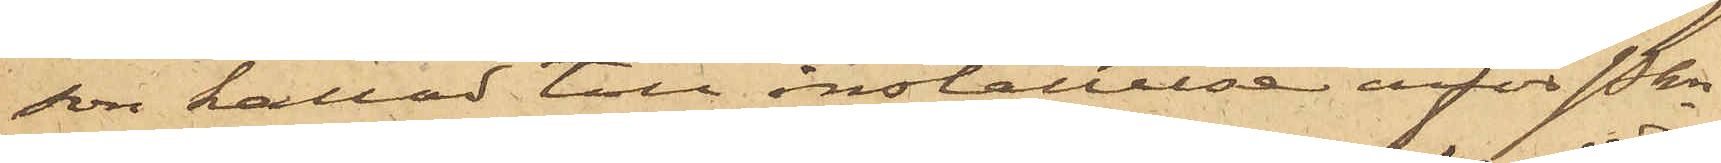son kallad till inställelse inför Pkn
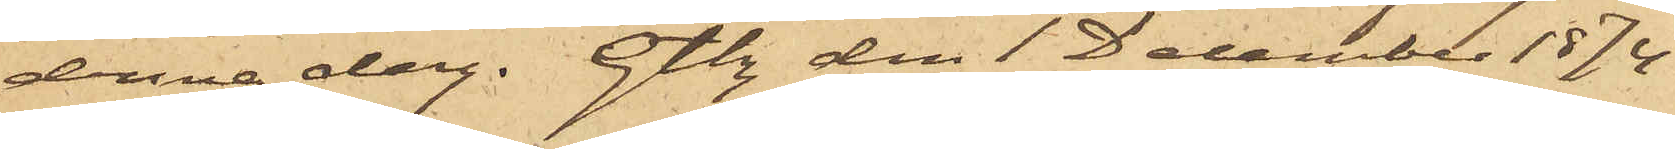denna dag. Gtbg den 1 December 1874
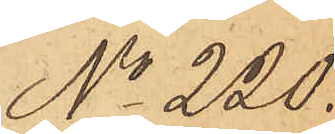No 220.
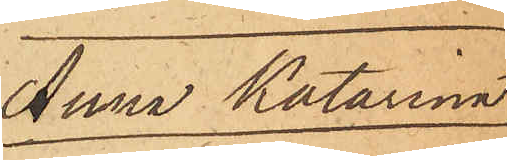Anna Katarina
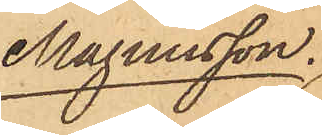Magnusson.
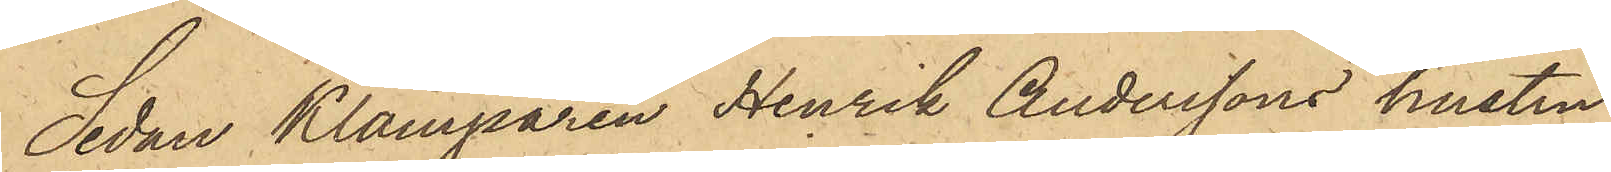Sedan Klamparen Henrik Anderssons hustru
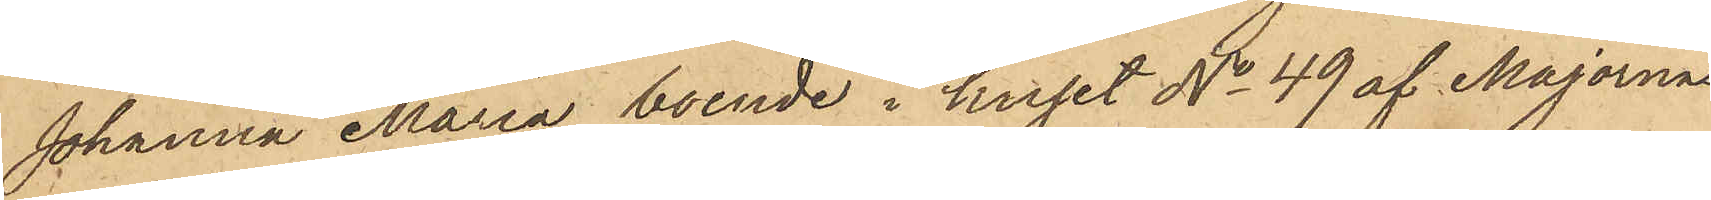Johanna Maria, boende i huset No 49 af Majornas
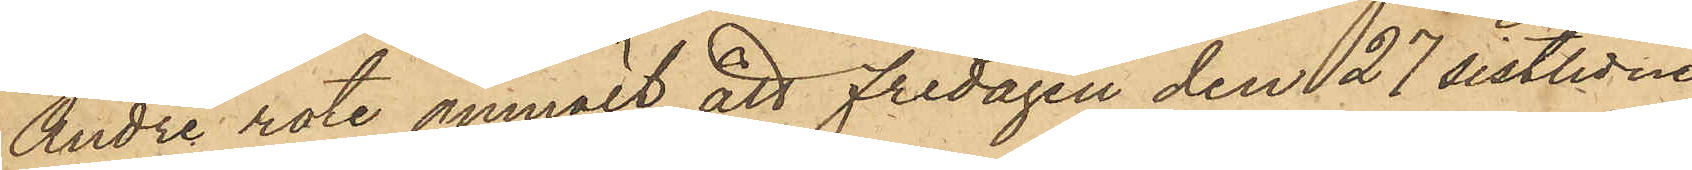Andre rote anmält, att Fredagen den 27 sistlidne
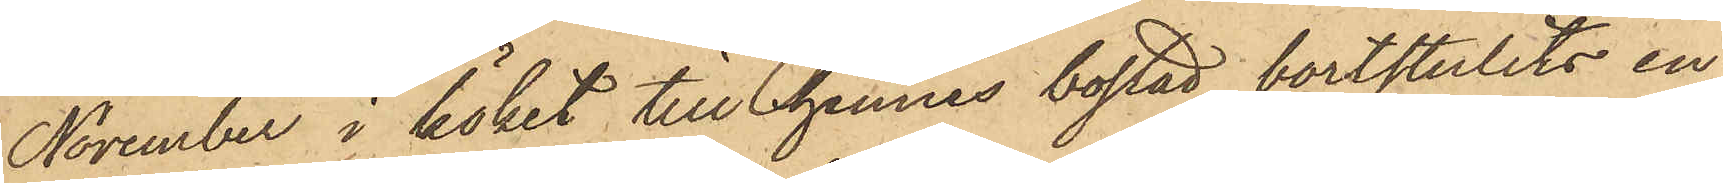November i köket till hennes bostad bortstulits en
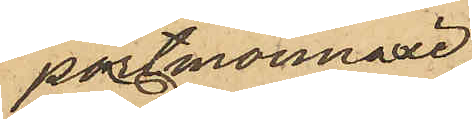portmonnaie
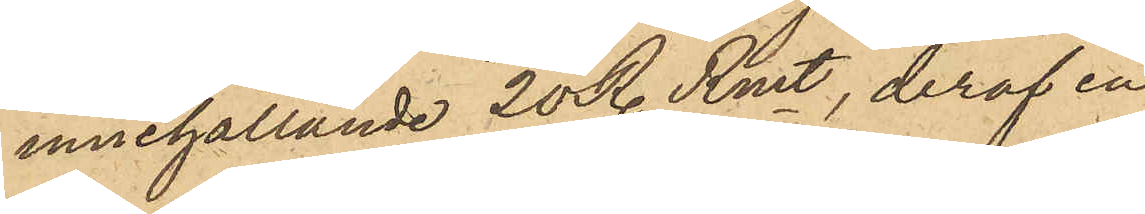innehållande 20 Rdr.Rmt, deraf en
